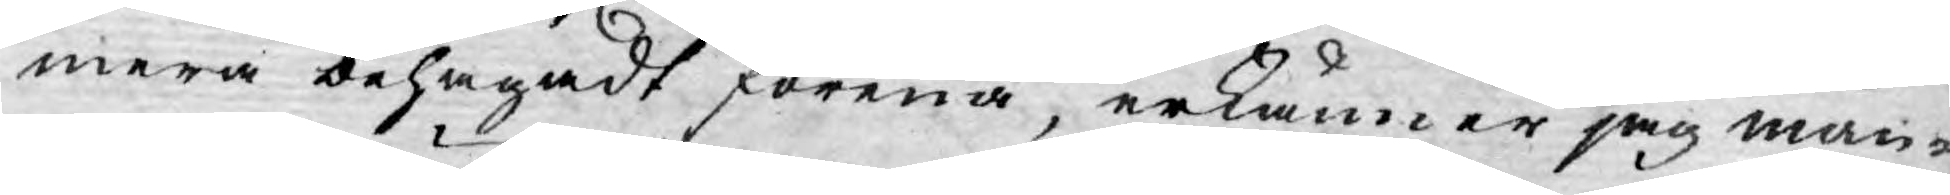mera behagadt förena, erkänner jag mån¬
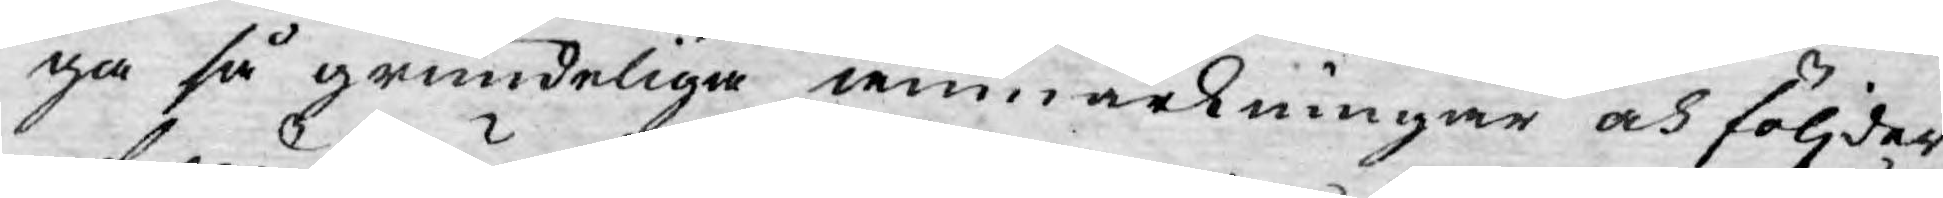ga så grundeliga anmärkningar och följder
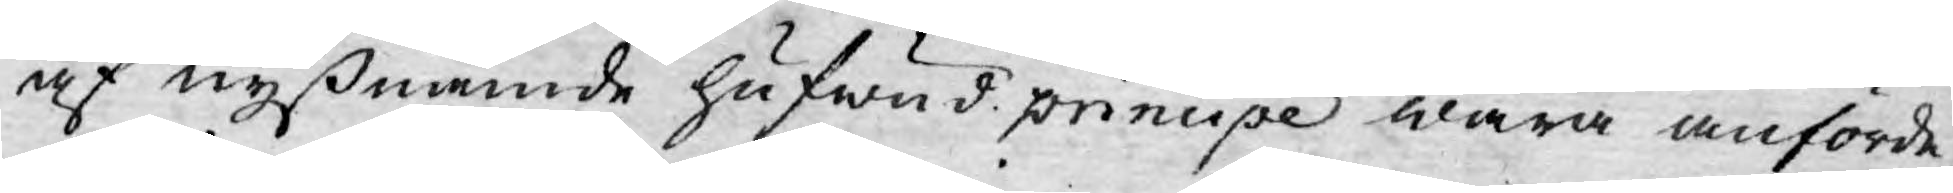af nyßnämde hufwud principe wara anförde,
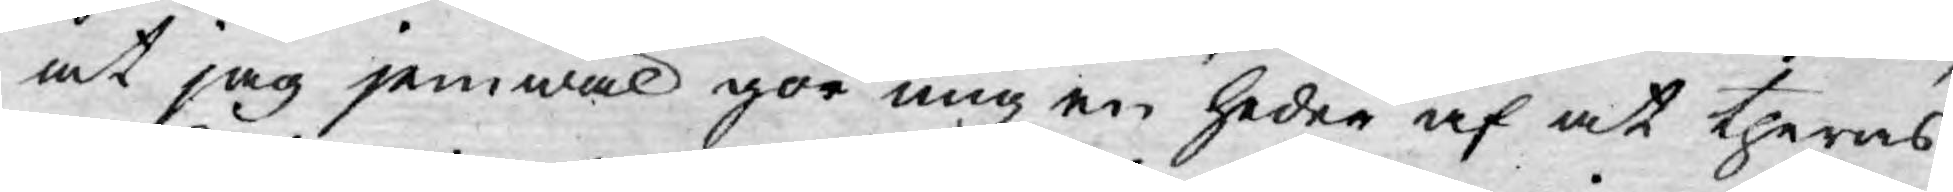at jag jemwäl gör mig en heder af at theras
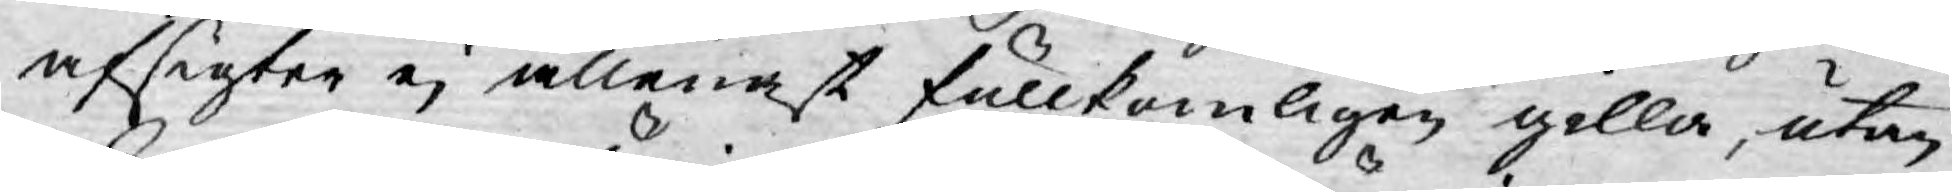afsigter ej allenast fullkomligen gilla, utan
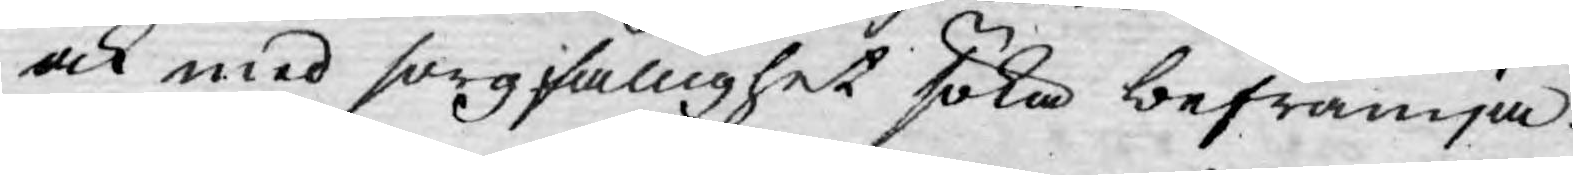ock med sorgfällighet söka befrämja.
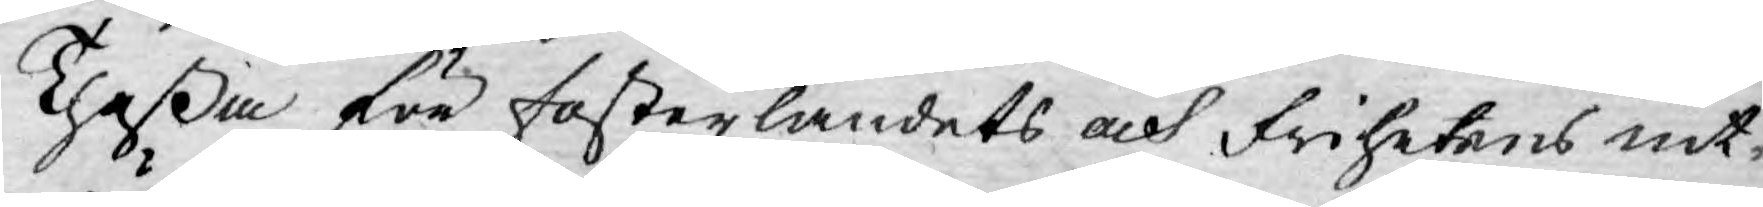Theßa för fosterlandets och Frihetens nit¬
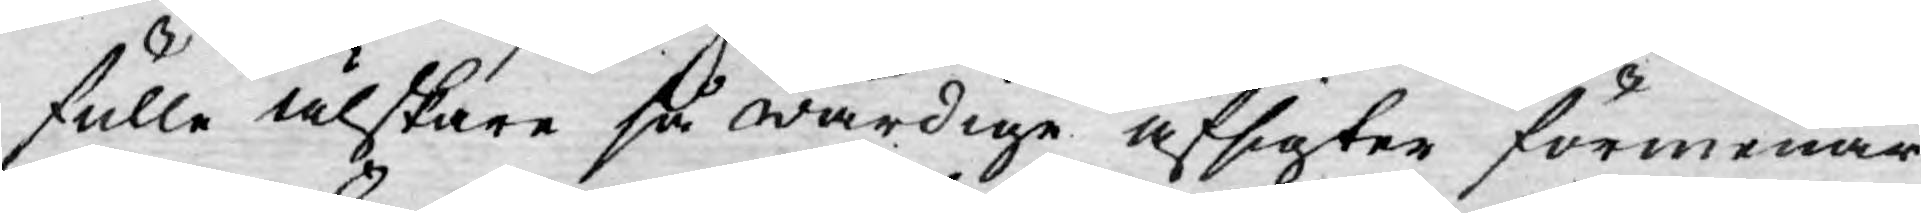fulle älskare så wärdige afsigter förmenar
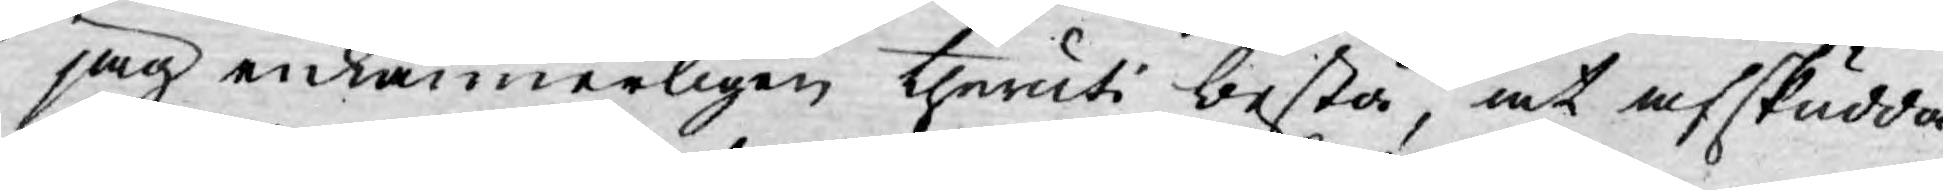jag enkannerligen theruti bestå, at afskudda
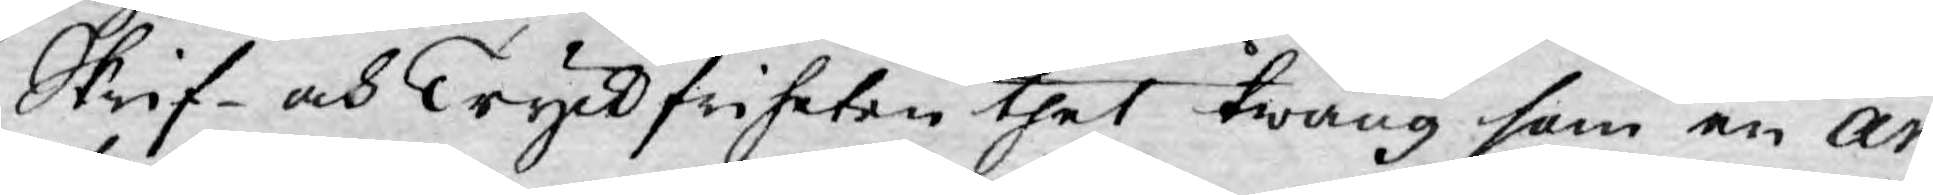Skrif- och Tryckfriheten thet twång som en ar¬
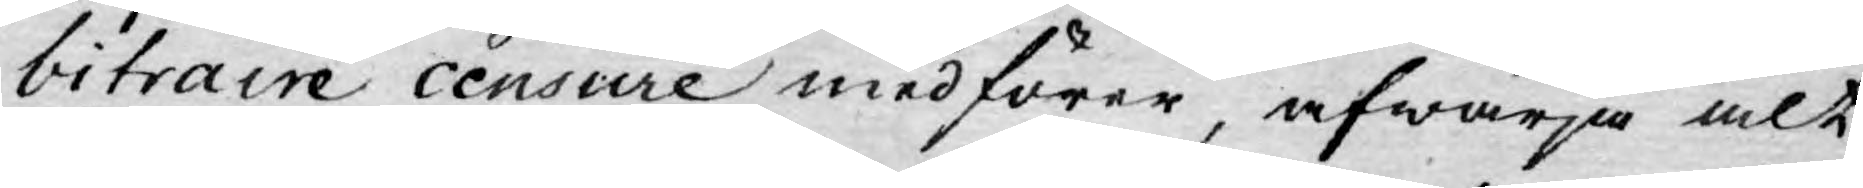bitraire censure medförer, afwärja alt
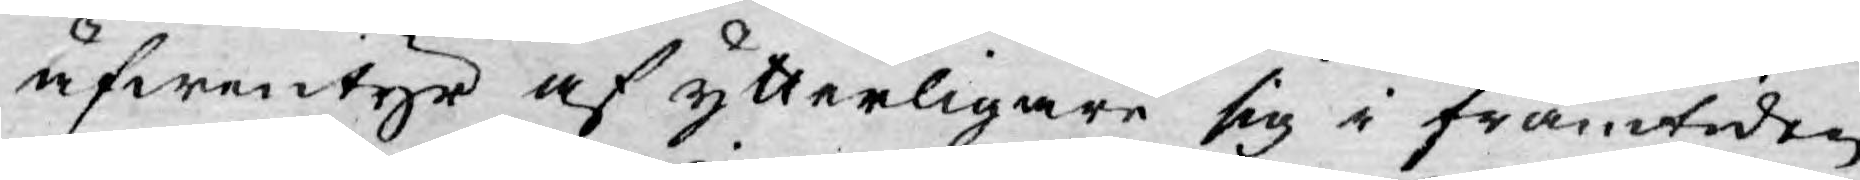äfwentyr af ytterligare sig i framtiden
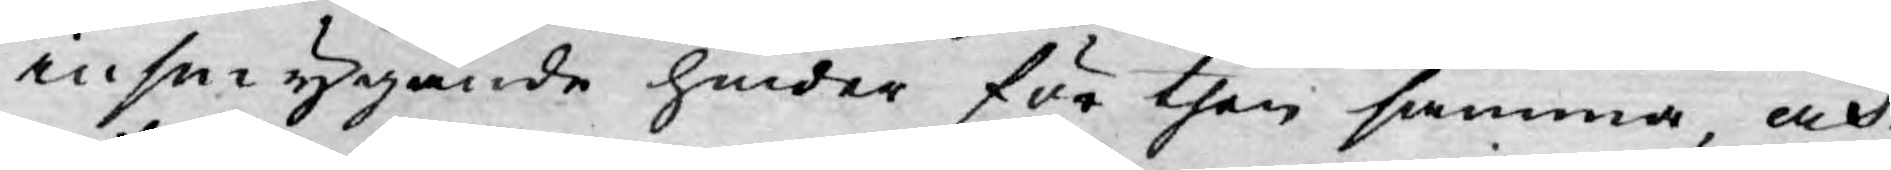insmygande hinder för then samma, och
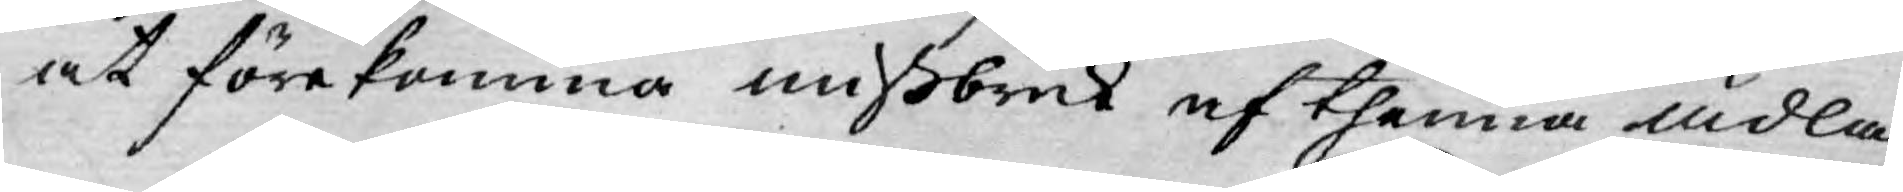at förekomma mißbruk af thenna ädla
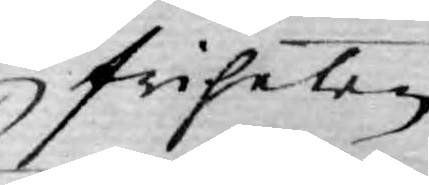friheten
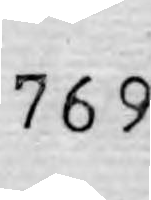769
